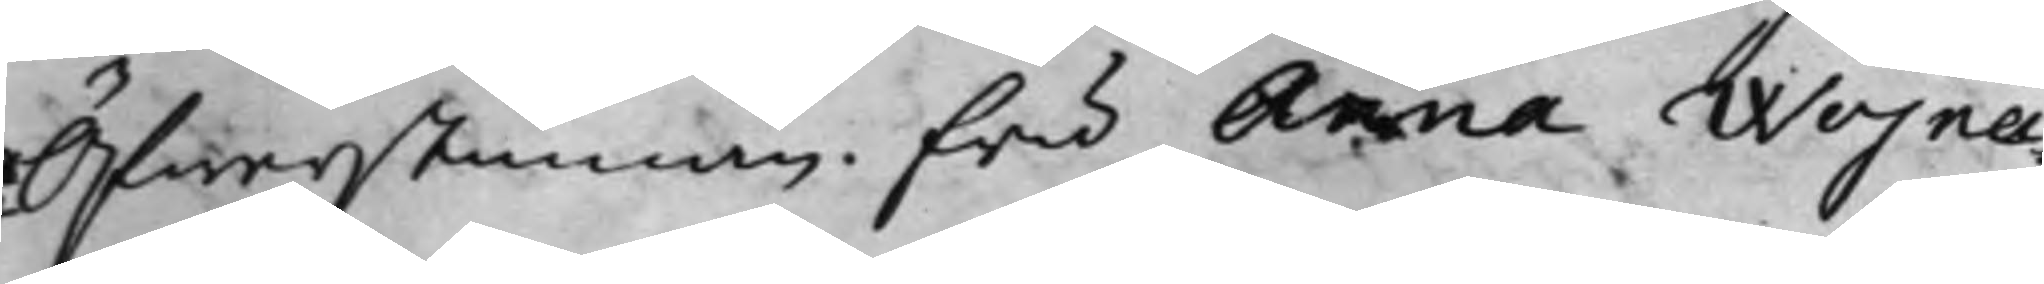Öfwerstinnan Fru Anna Wojna¬
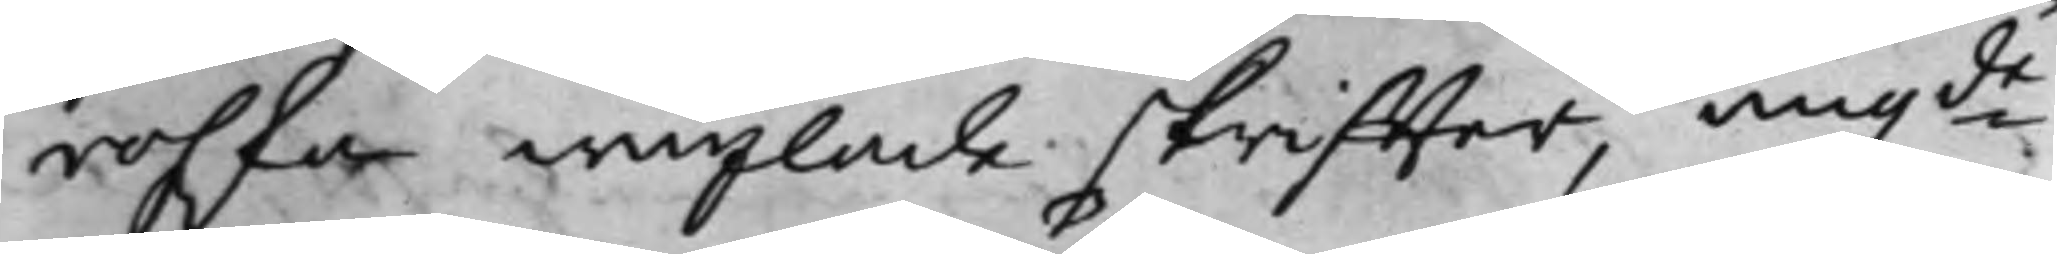rofska wexlade skriffter, angde
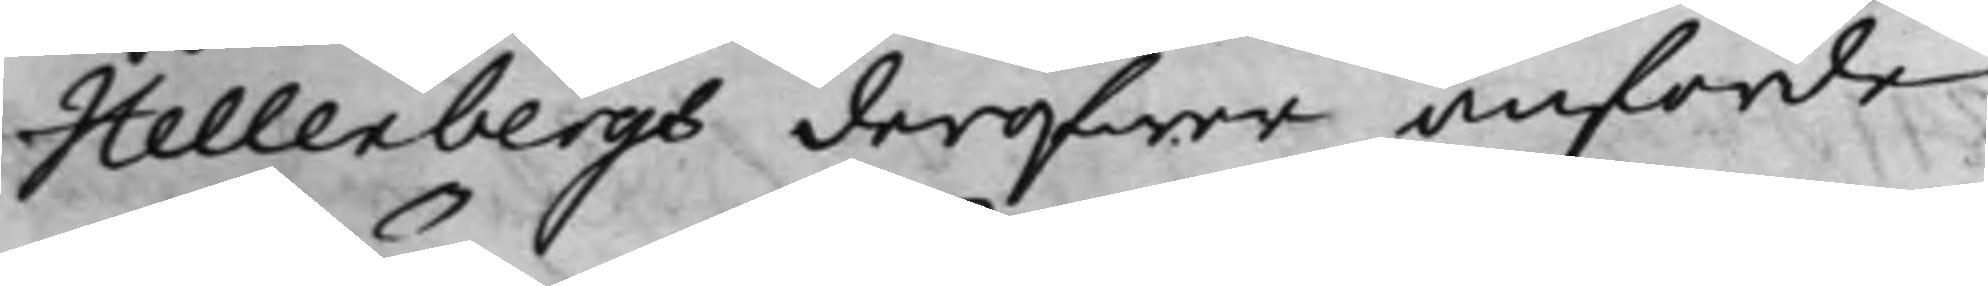Hellenbergs deröfwer anförde
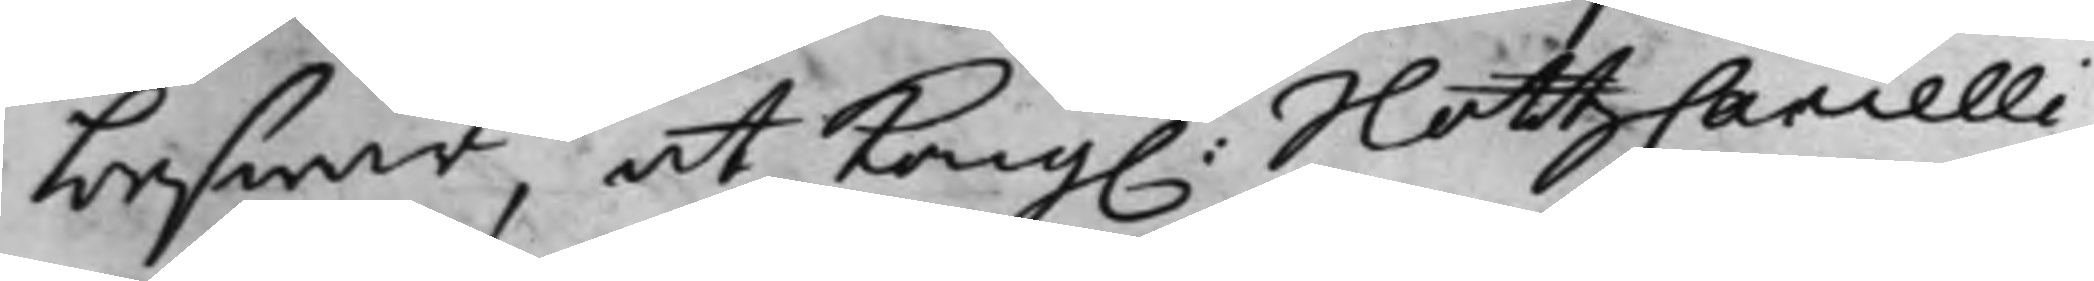beswär, at Kong. SlottzCancelli¬
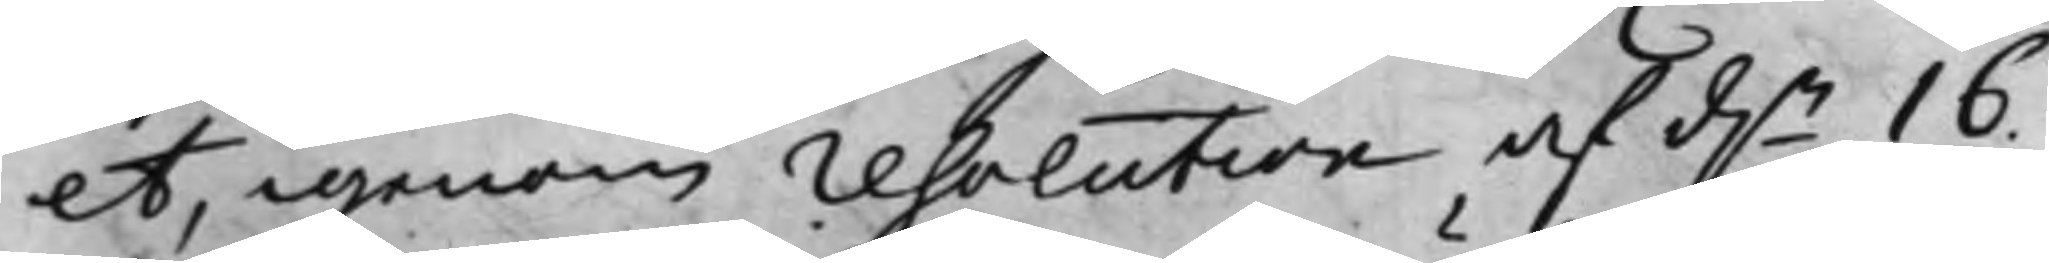et, igenom resolution af d.n 16.
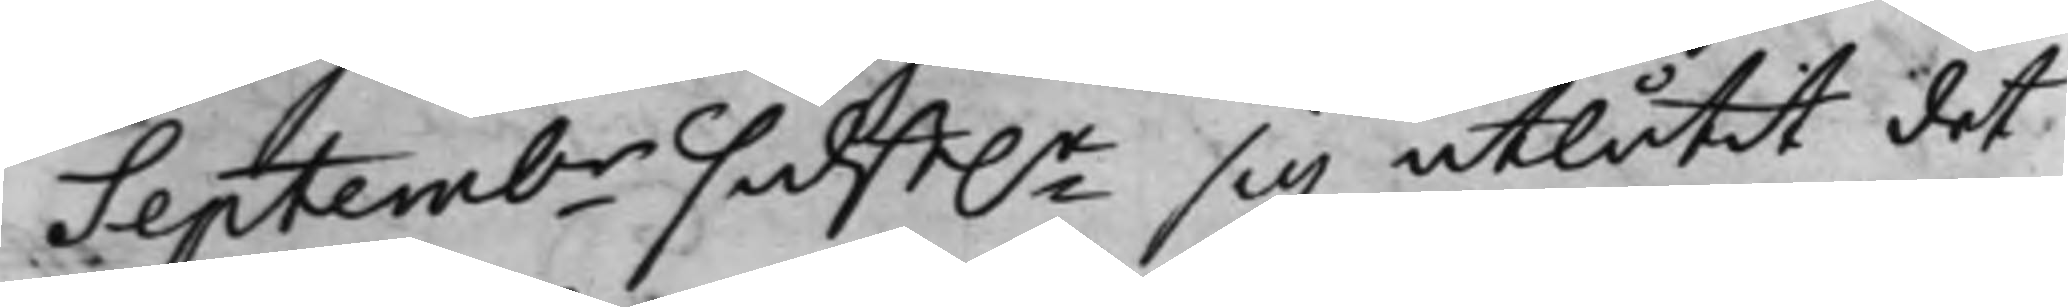Septembr sidst.e sig utlåtit det
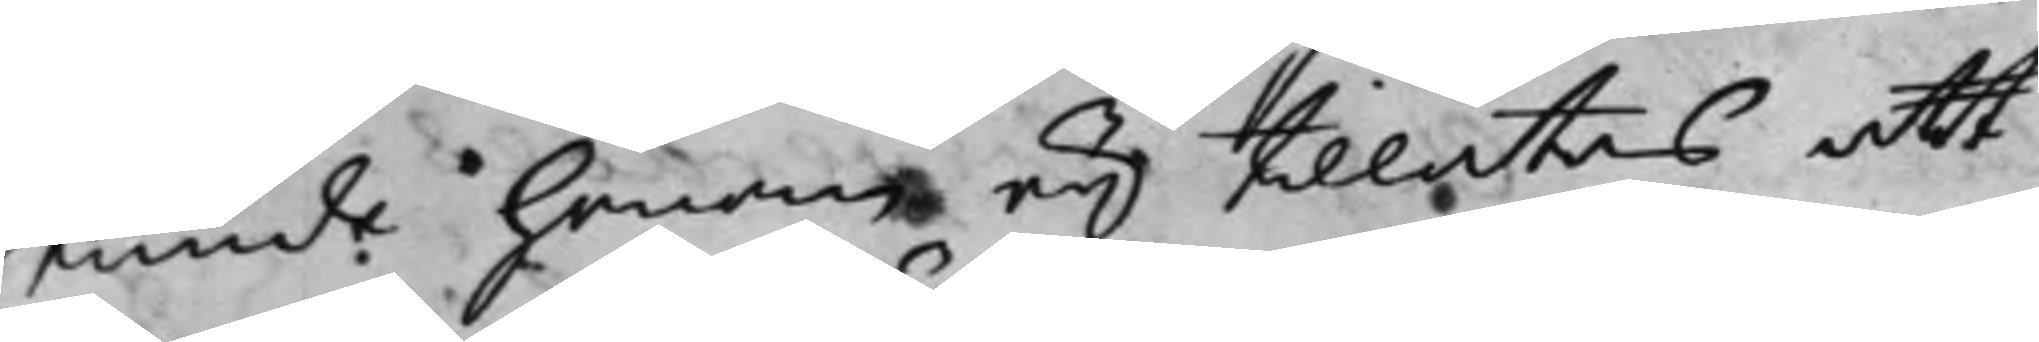kunde honom eij tillåtas att
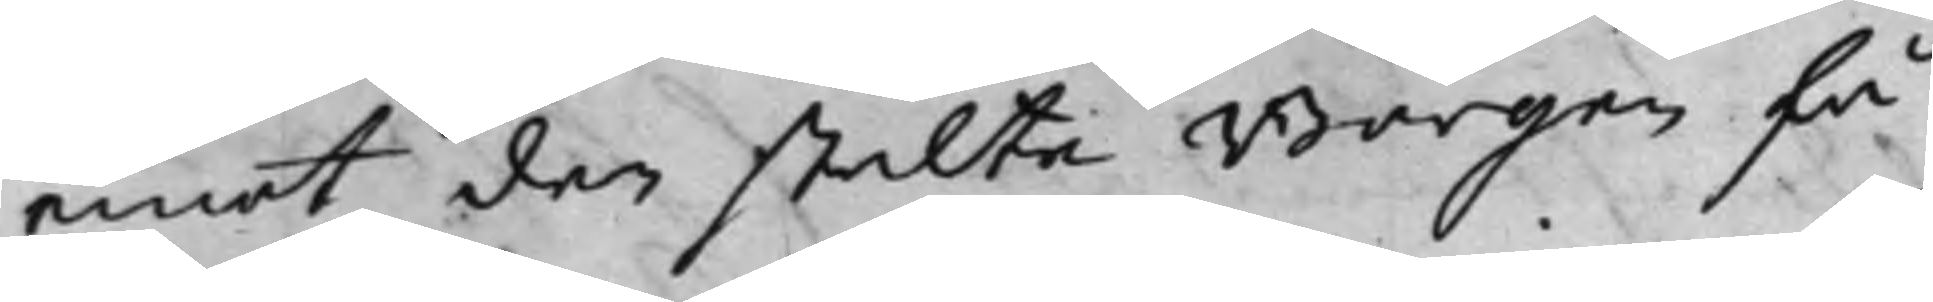emot den stälte Borgen få
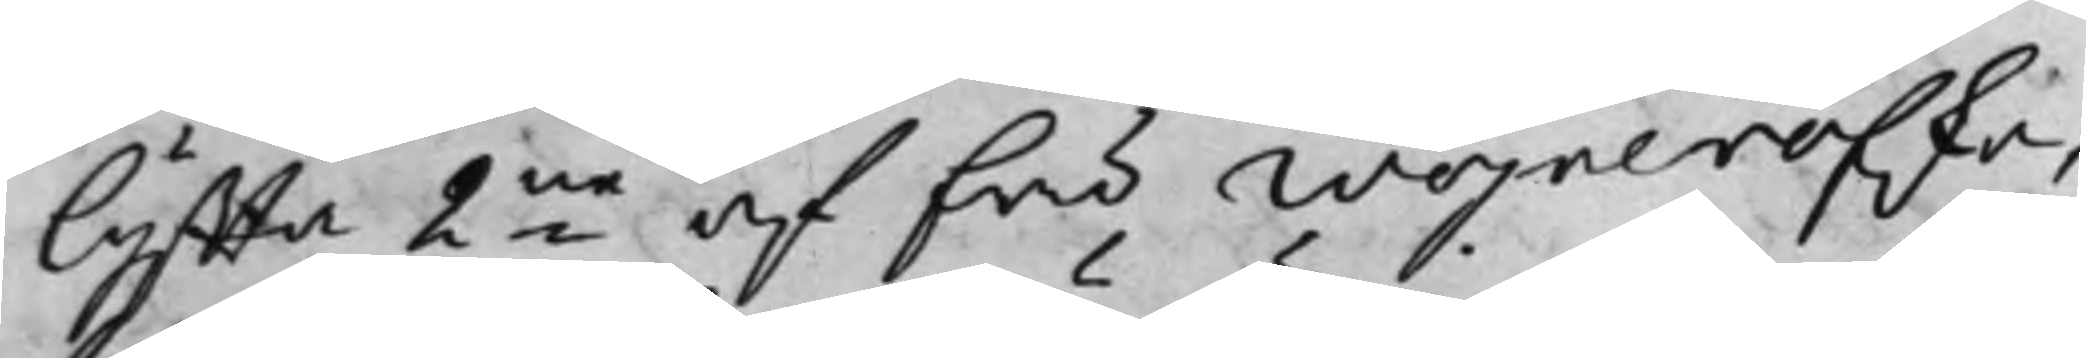lyffta 2ne af fru Wojnerofska, 
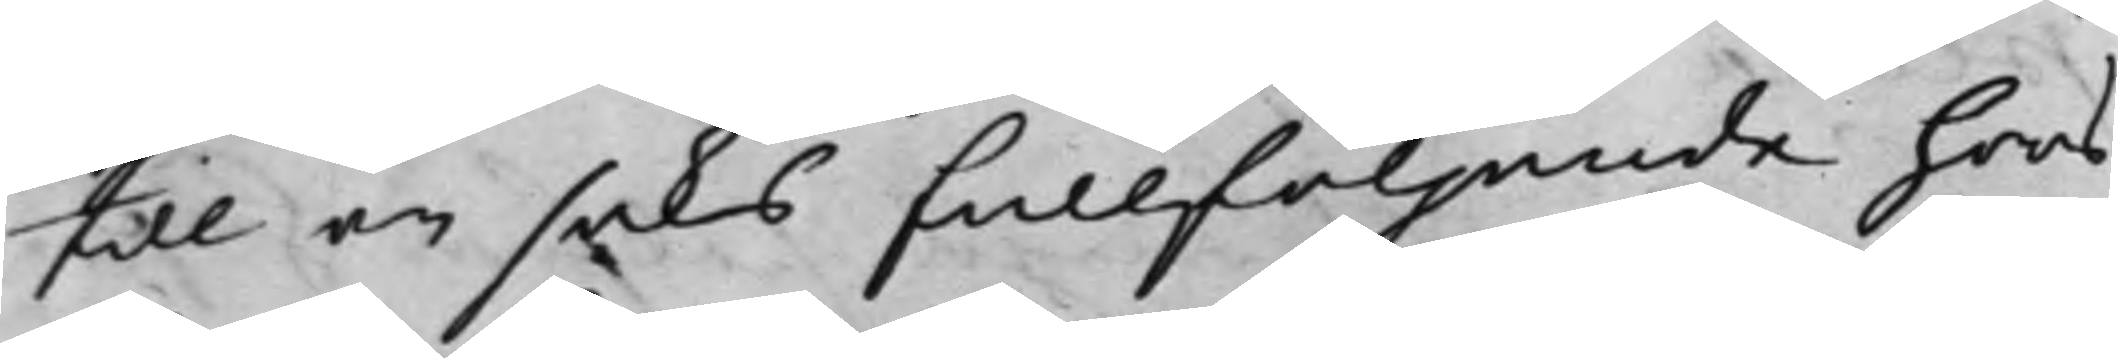till en saks fullföljande hoos
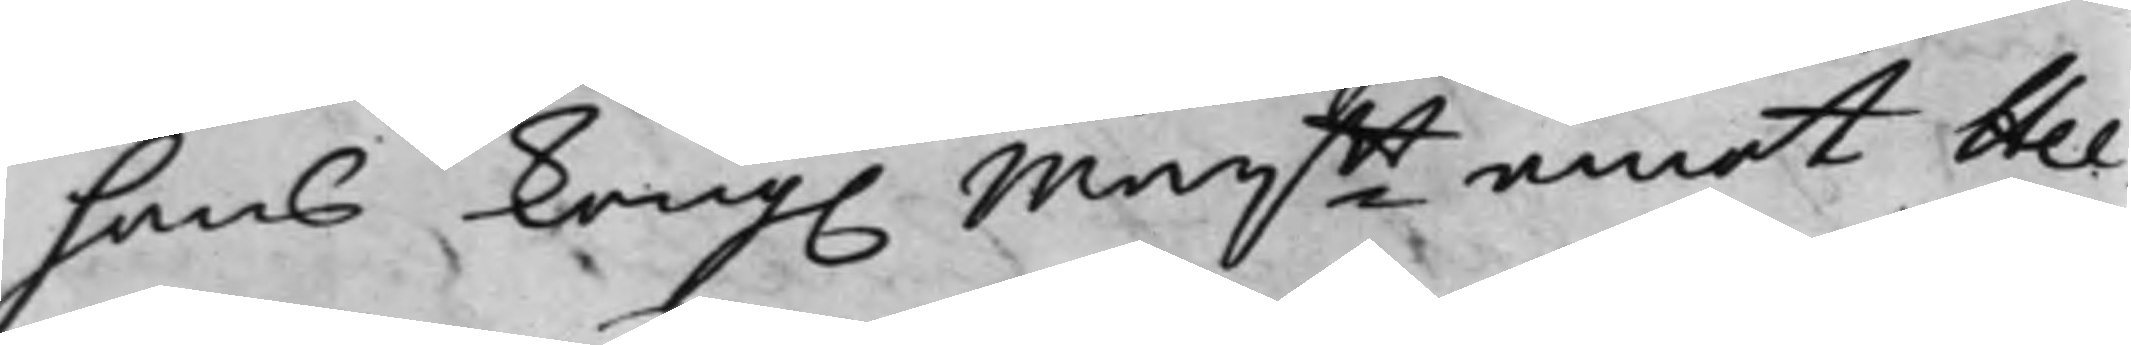hans Kong. Maijtt emot Hel¬
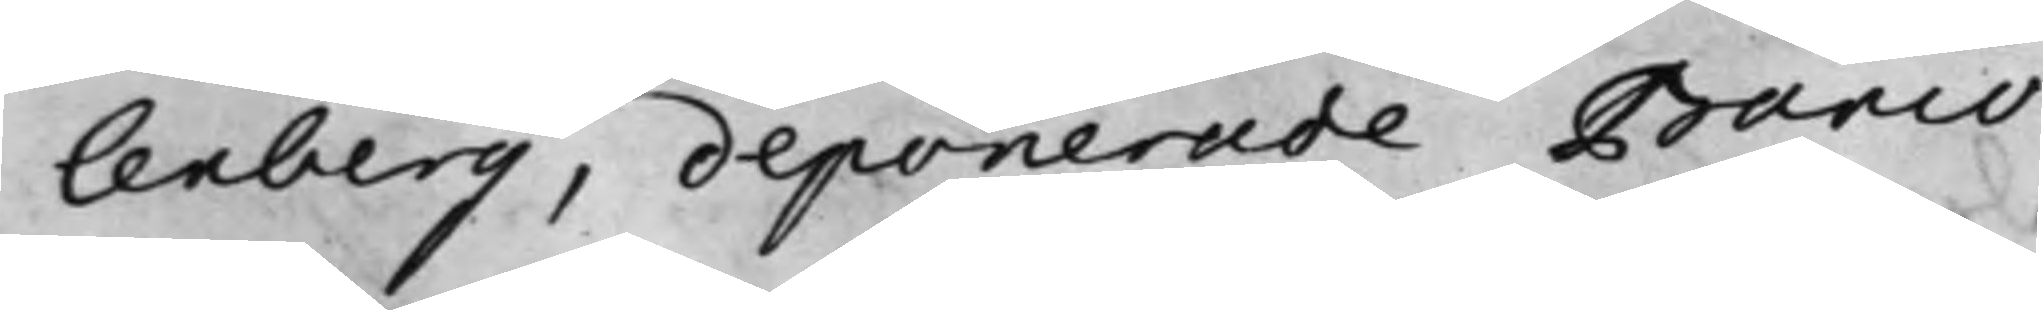lenberg, deponerade Banco
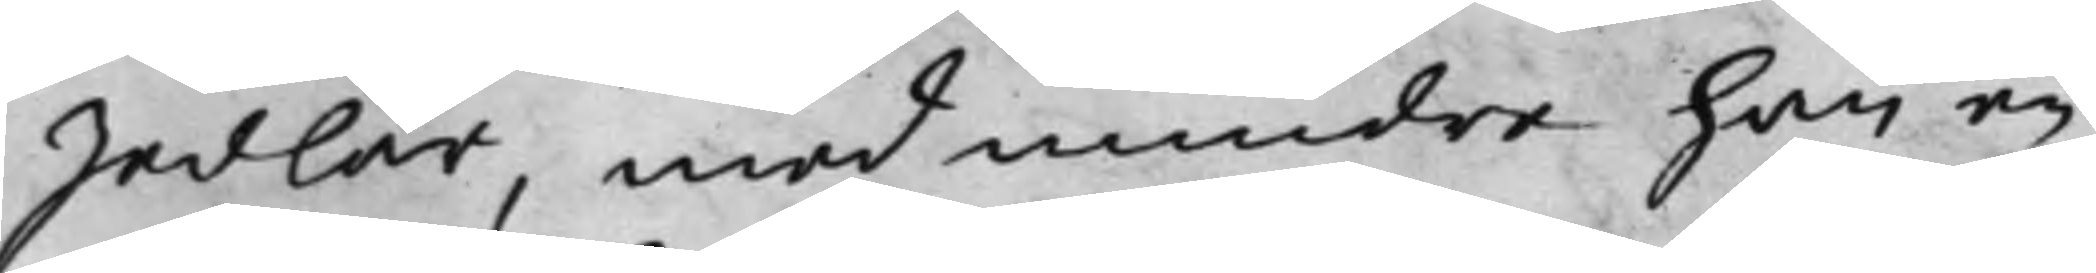Sedlar, med mindre han en
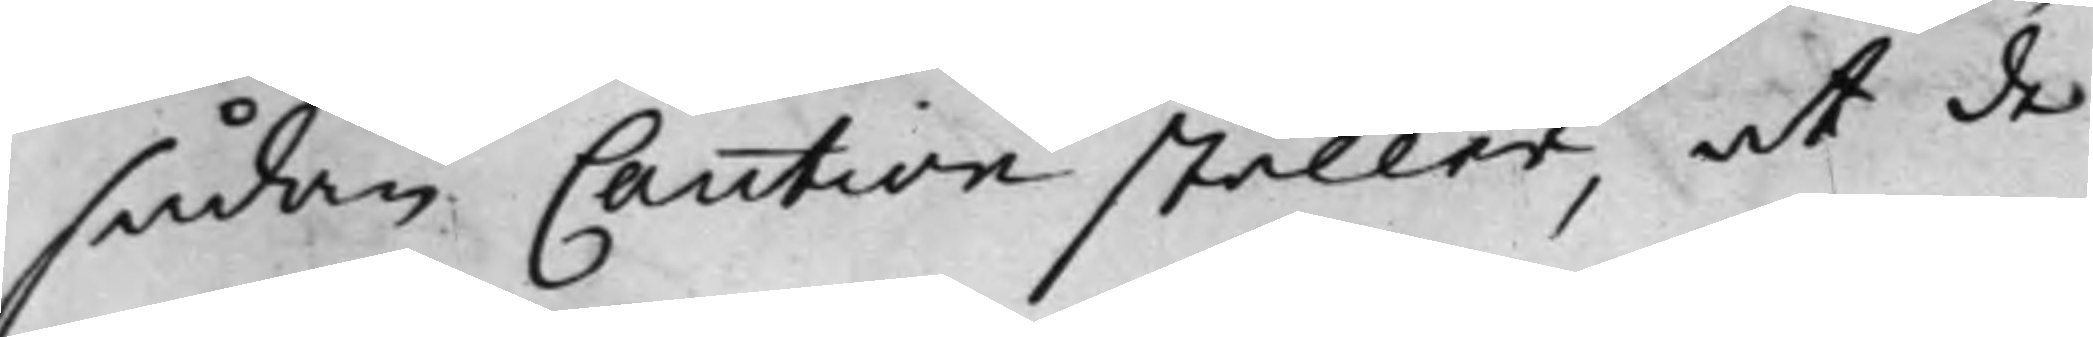sådan Caution ställer, at de
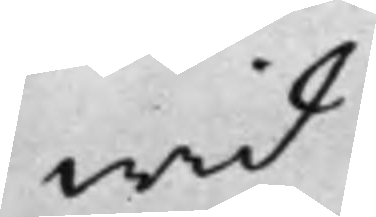wid
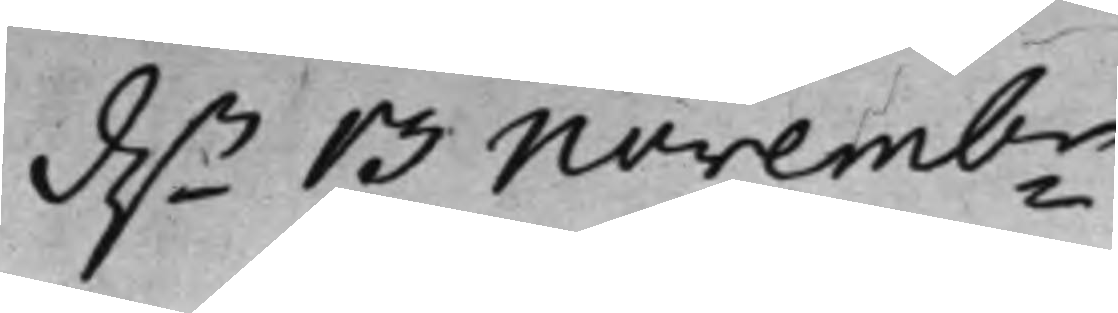d.n 13 Novembr
